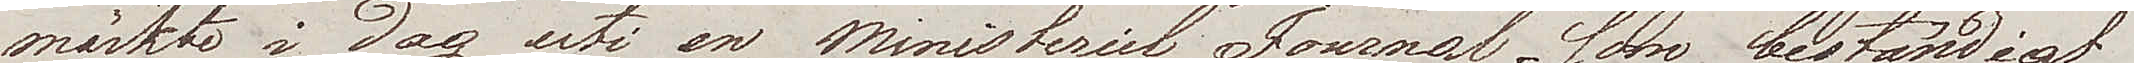märkte i dag uti en Ministeriel Journal, som beständigt
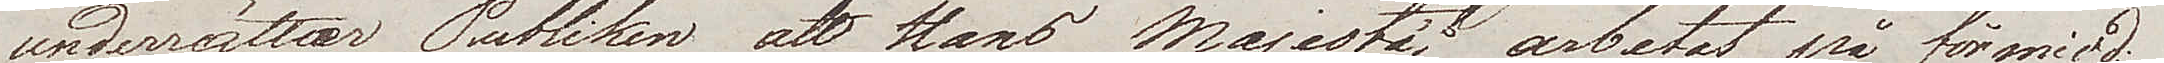underrättar Publiken att Hans Majestät arbetat på förmidd.
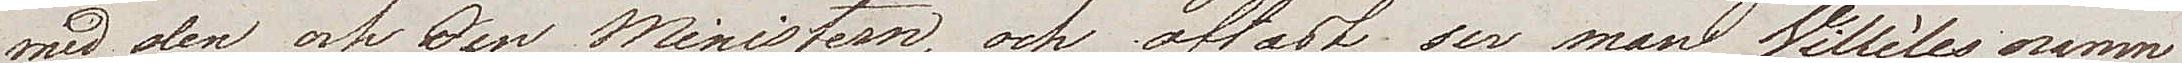med den och den Ministern, och oftast ser man Villèles namn
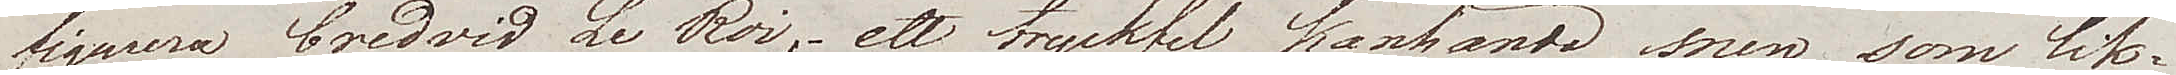figurera bredvid Le Roi, – ett tryckfel kanhända, men som lik¬
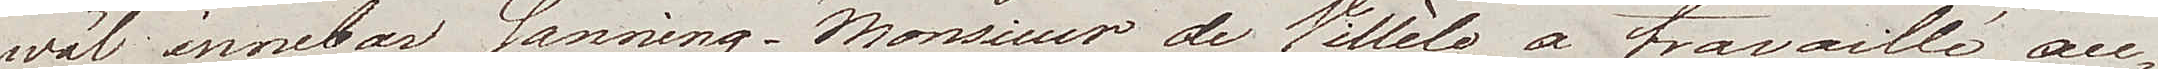wäl innebar sanning – "Monsieur de Villèle a travaillé au¬
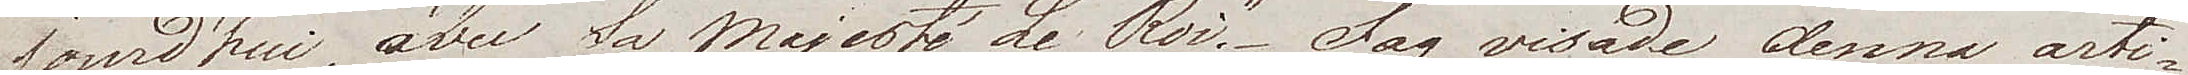jourd'hui avec Sa Majesté Le Roi". Jag visade denna arti¬
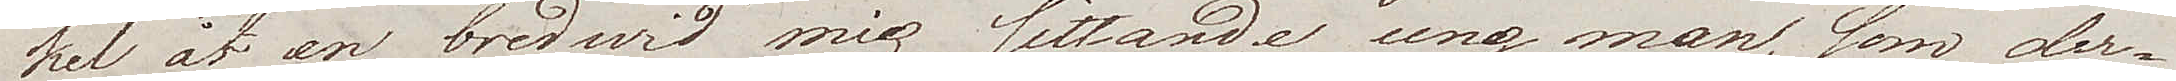kel åt en bredwid mig sittande ung man, som der¬
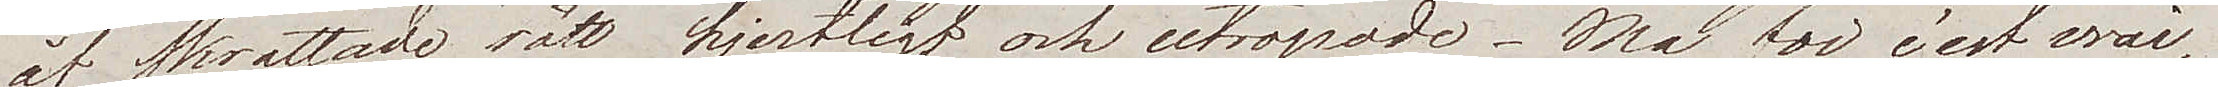åt skrattade rätt hjertligt och utropade – Ma foi c'est vrai, 
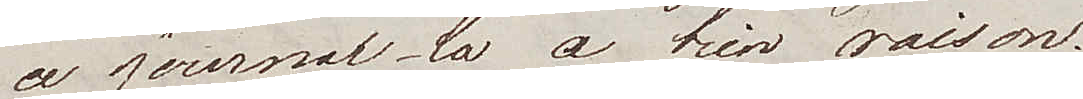ce journal-la a bien raison.
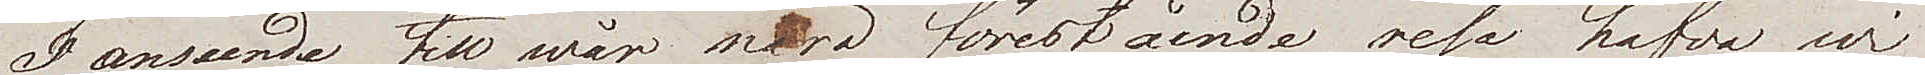I anseende till wår nära förestående resa hafva wi
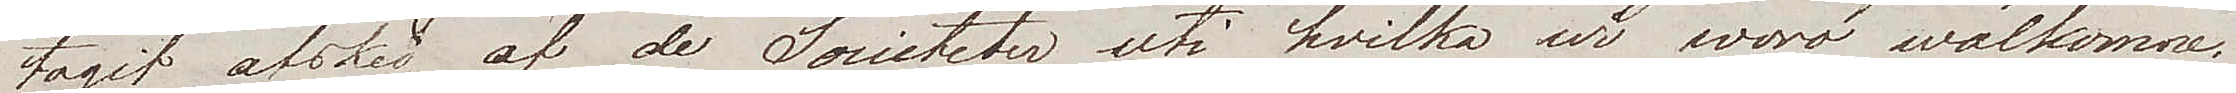tagit afsked af de Societeter uti hvilka wi woro wälkomne.
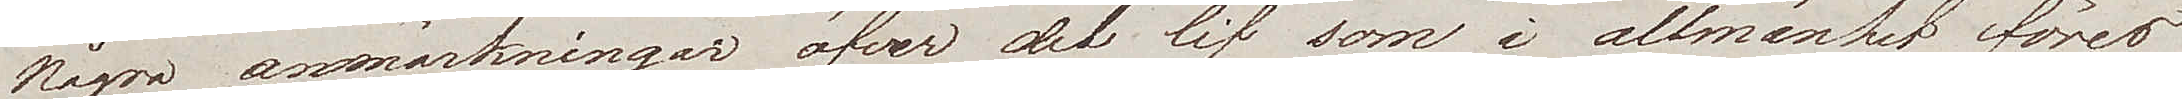Några anmärkningar öfver det lif som i allmänhet föres
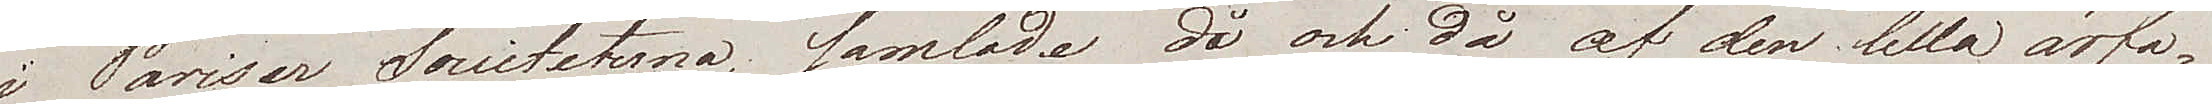i Pariser Societeterna, samlade då och då af den lilla ärfa¬
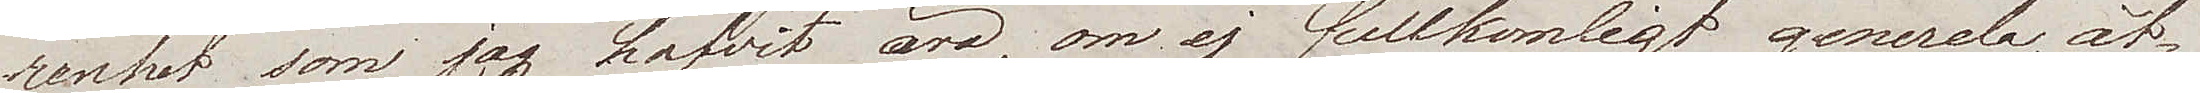renhet som jag hafvit äro, om ej fullkomlig generela, åt¬
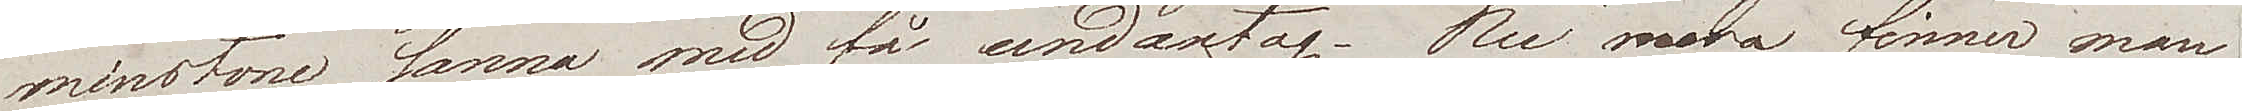minstone sanna med få undantag. Nu mera finner man
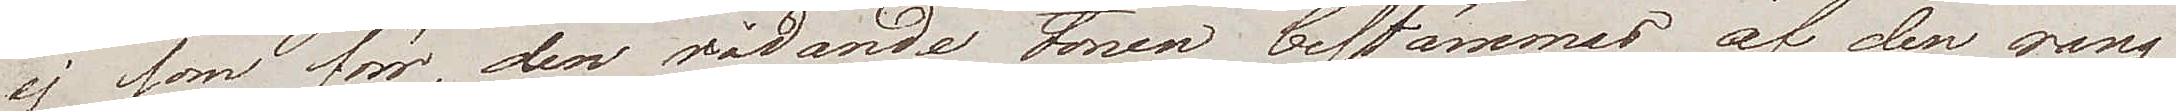ej som förr, den rådande tonen bestämmas af den rang
